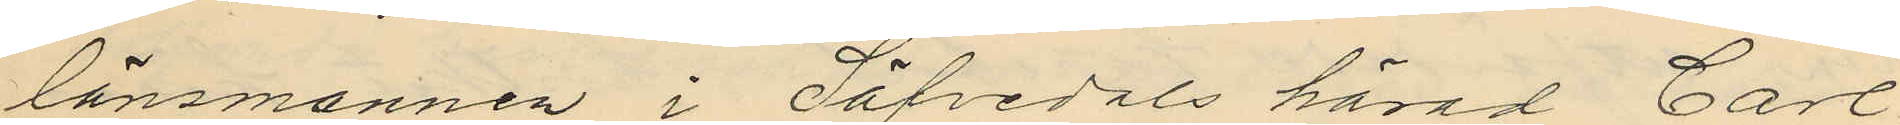länsmannen i Säfvedals härad Carl
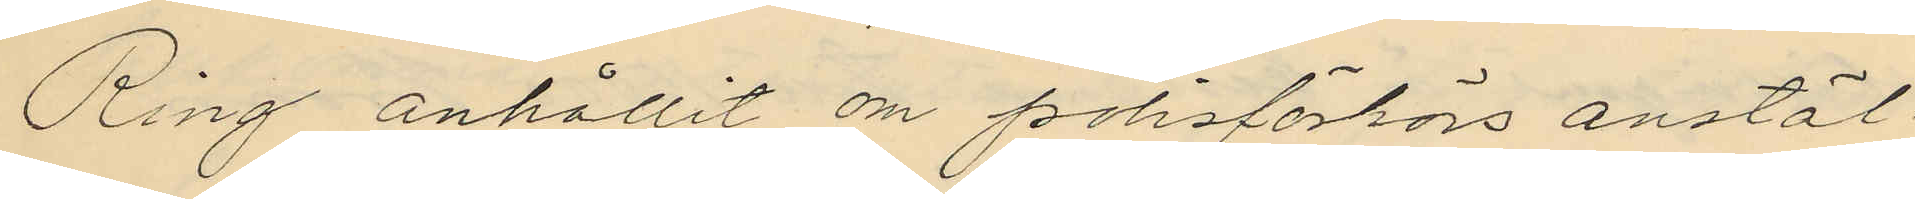Ring anhållit om polisförhörs anstäl¬
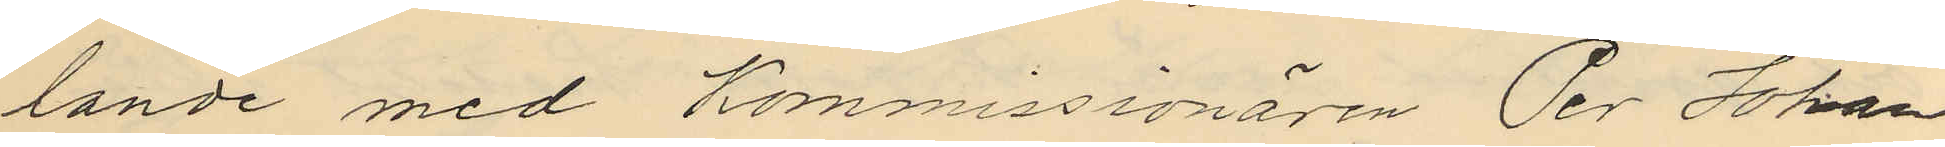lande med Kommissionären Per Johan
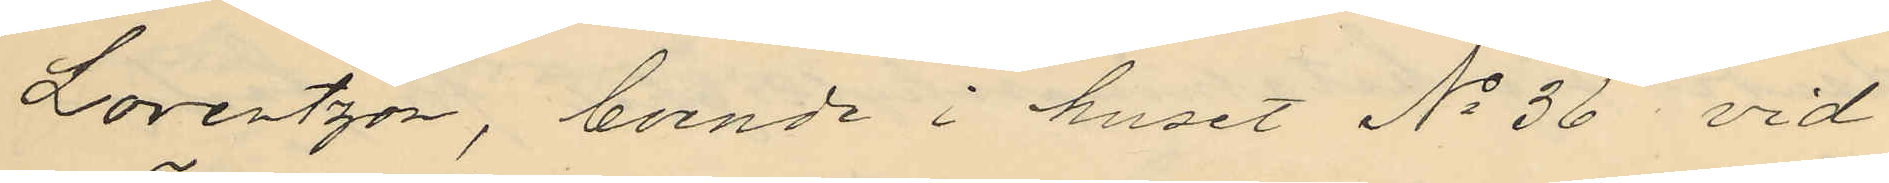Lorentzon, boende i huset No 36 vid
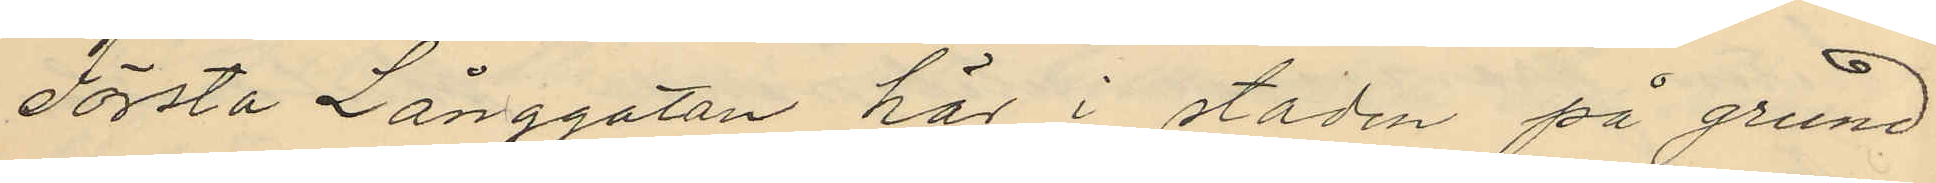Första Långgatan här i staden på grund
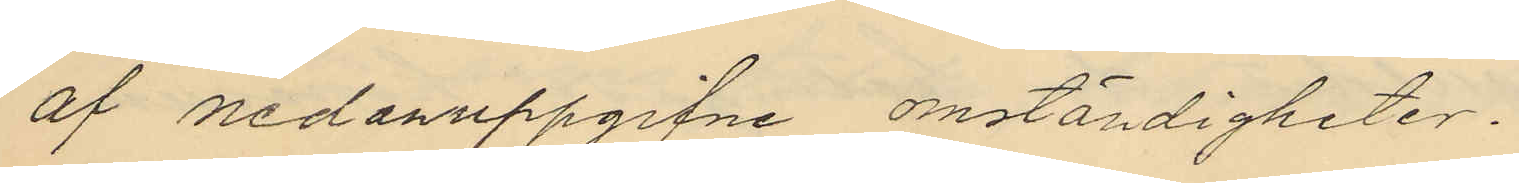af nedanuppgifne omständigheter.
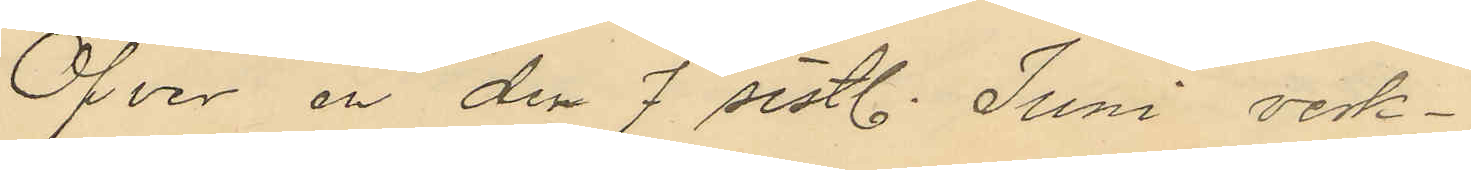Öfver en den 7 sistl. Juni verk¬
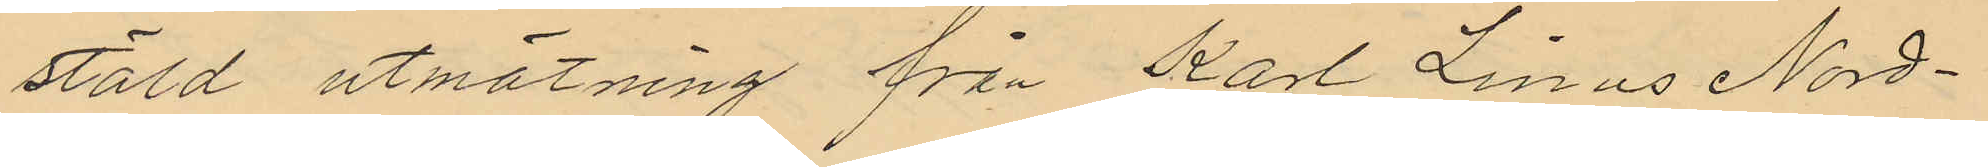stäld utmätning från Karl Linus Nord¬
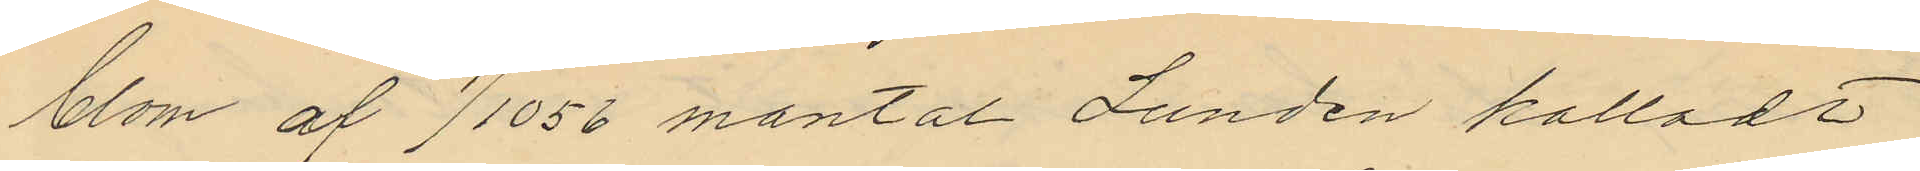blom af 1/1056 mantal Lunden kalladt
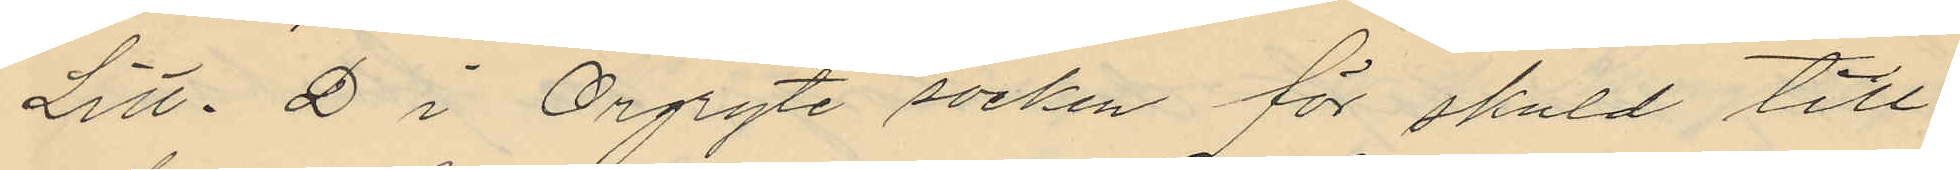Litt. D i Örgryte socken för skuld till
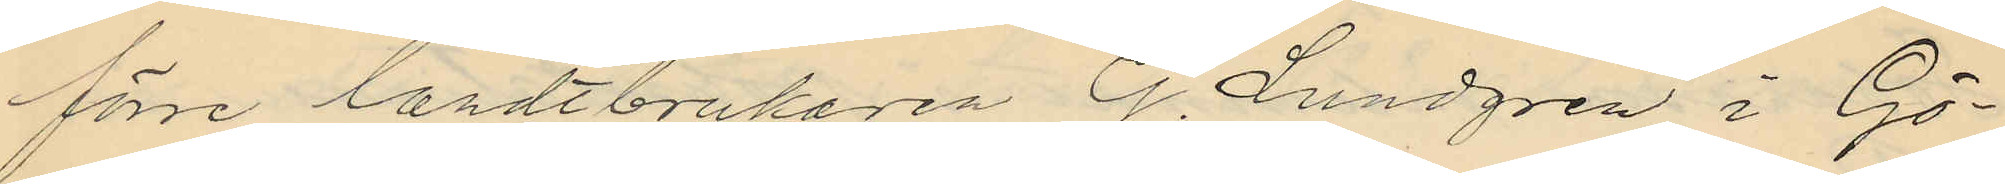förre landtbrukaren G. Lundgren i Gö¬
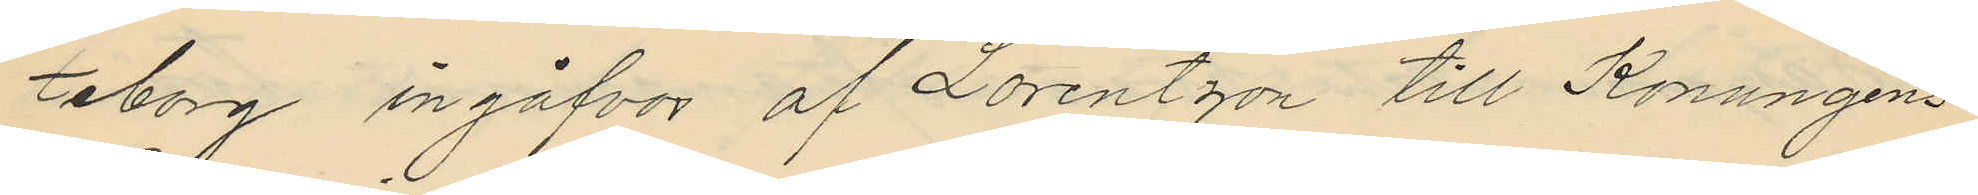teborg ingåfvor af Lorentzon till Konungens
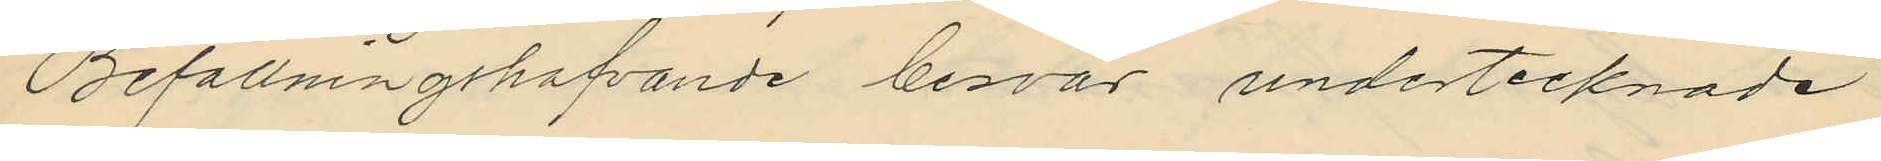Befallningshafvande besvär undertecknade
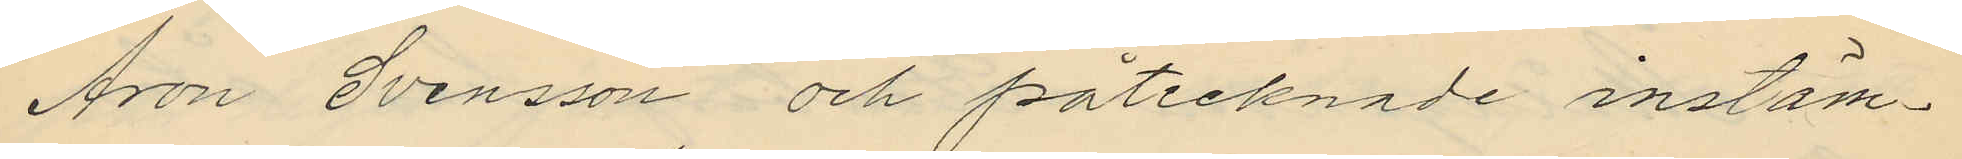Aron Svensson och påtecknade instäm¬
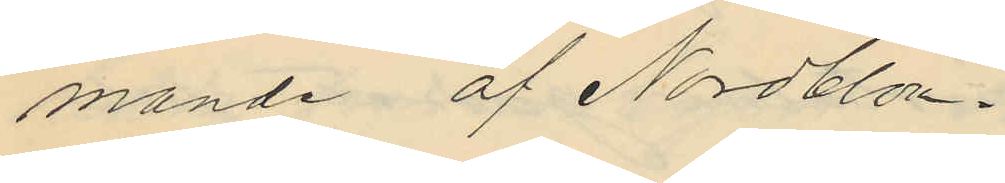mande af Nordblom.
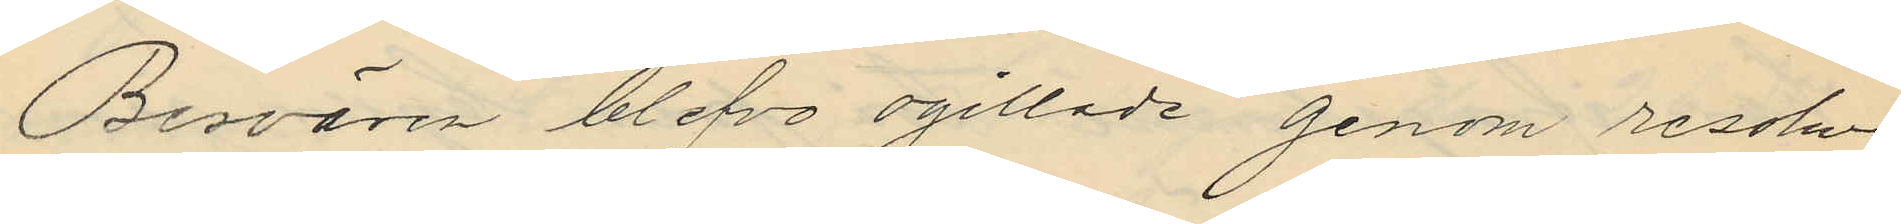Besvären blefvo ogillade genom resolu¬
